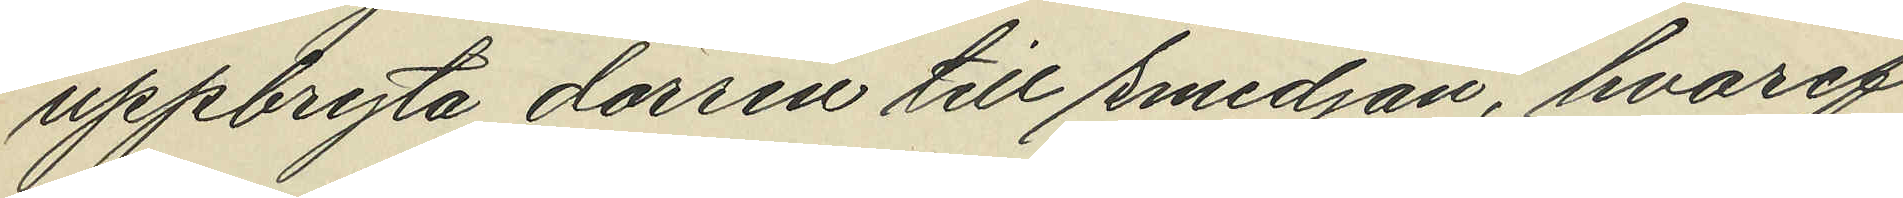uppbryta dörren till smedjan, hvaref¬
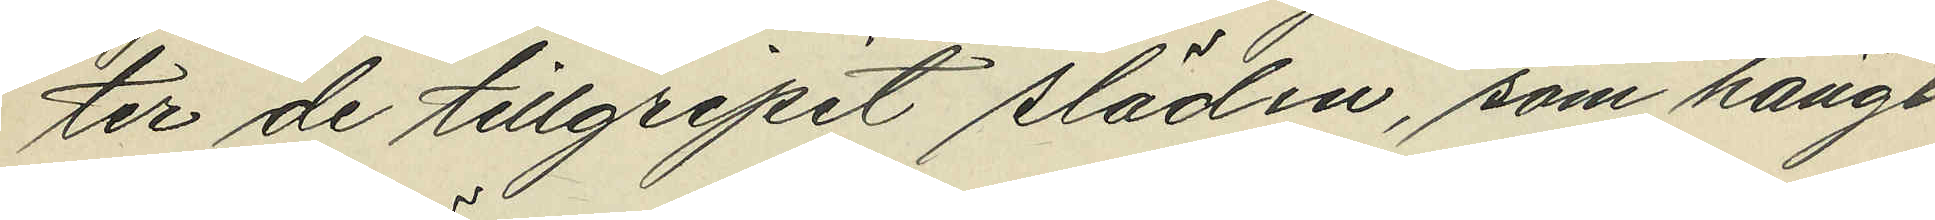ter de tillgripit släden, som hängt
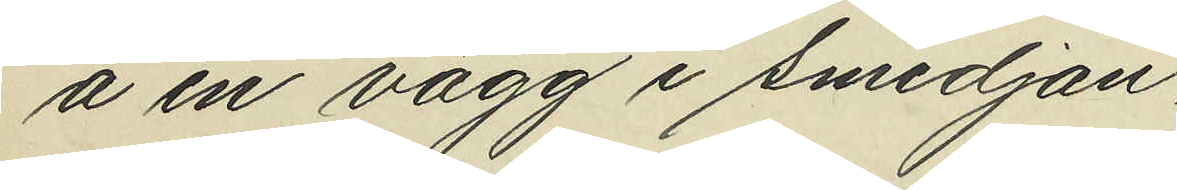å en vägg i smedjan;
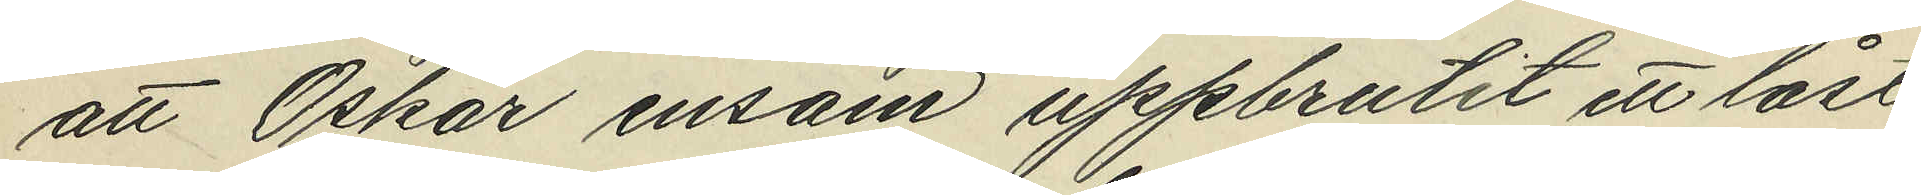att Oskar ensam uppbrutit ett låst
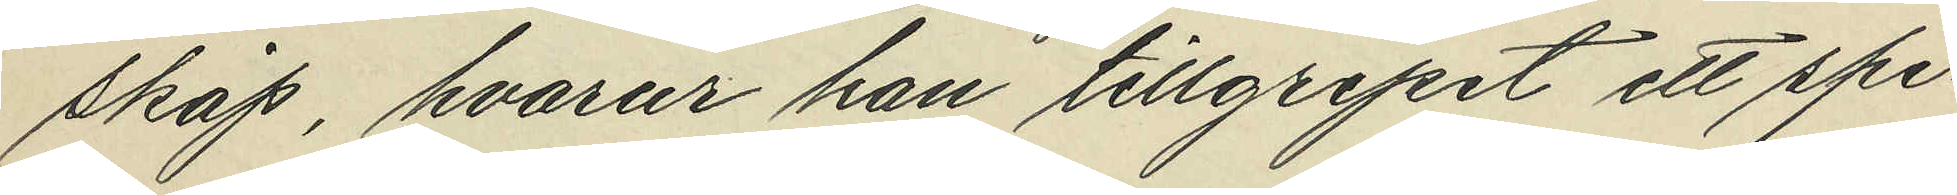skåp, hvarur han tillgripit ett spi¬
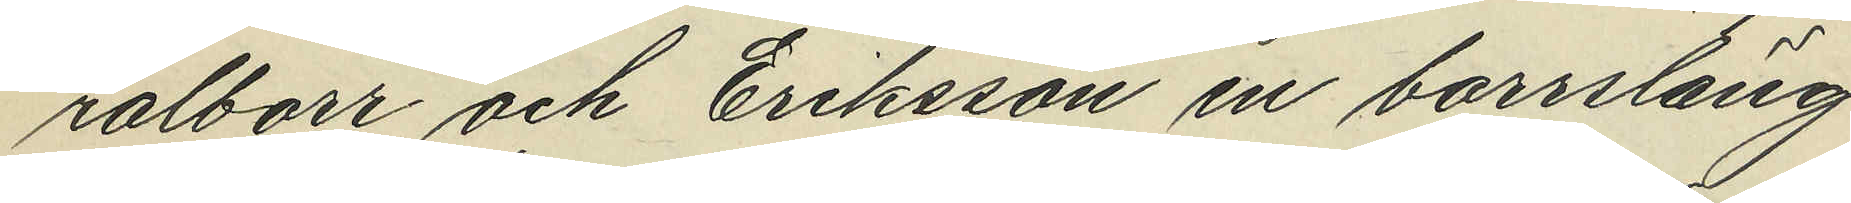ralborr och Eriksson en borrsläng
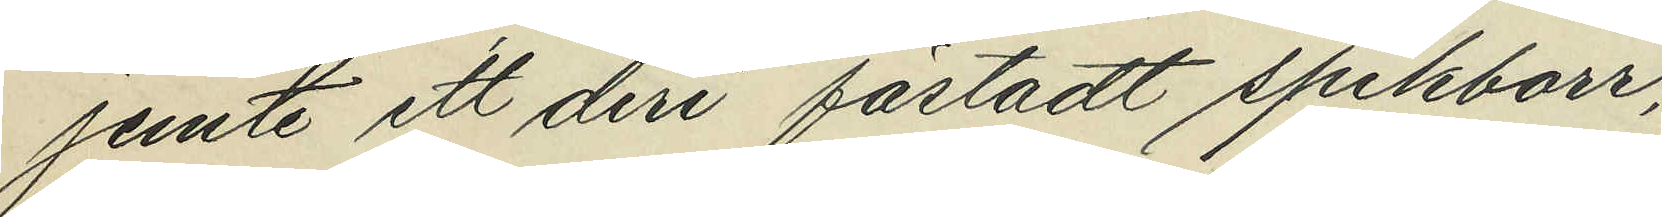jemte ett deri fästadt spikborr;
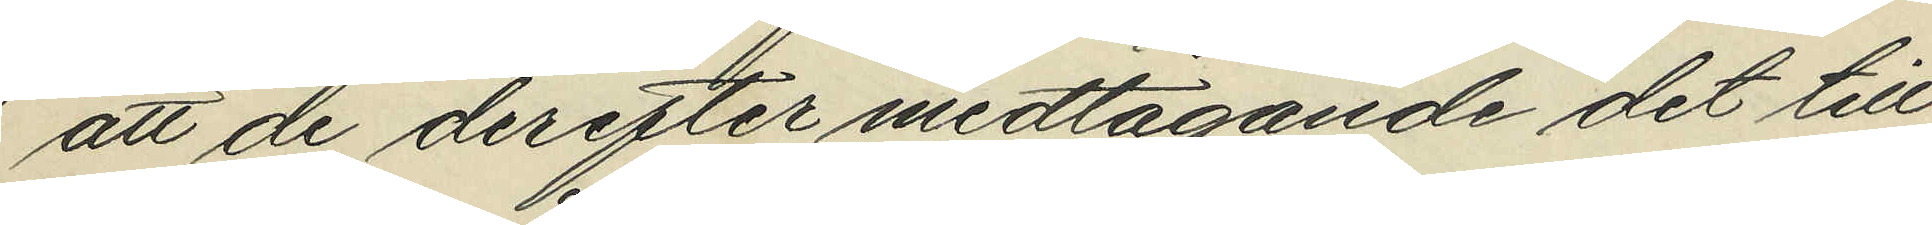att de derefter medtagande det till¬
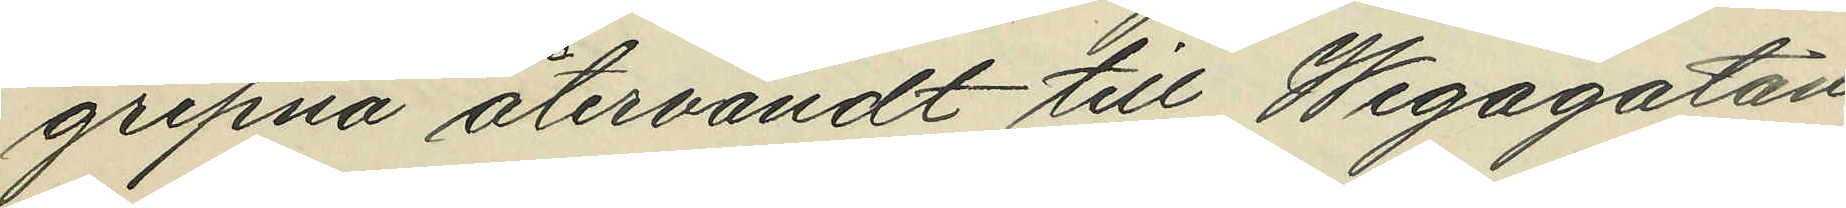gripna åtvändt till Wegagatan
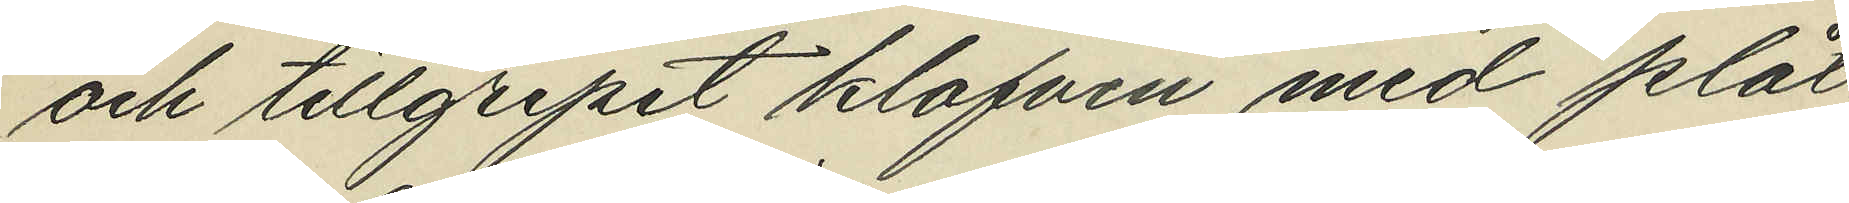och tillgripit klafven med plåt,
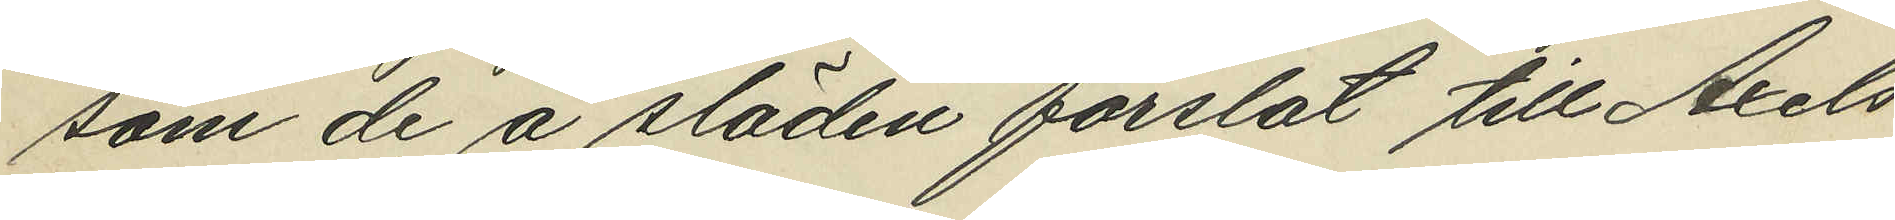som de å släden forslat till Axels
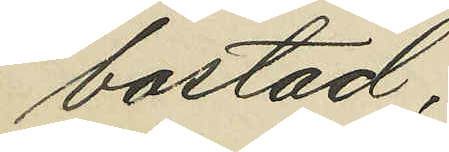bostad;
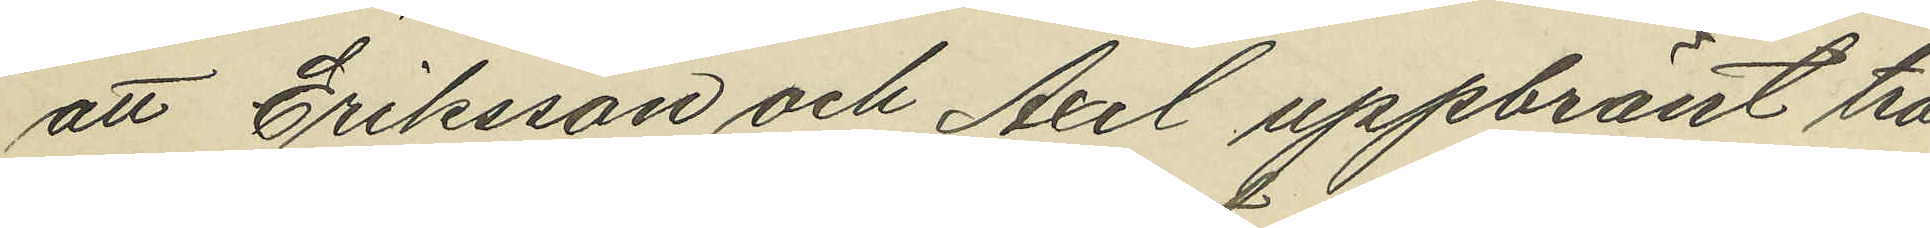att Eriksson och Axel uppbränt trä
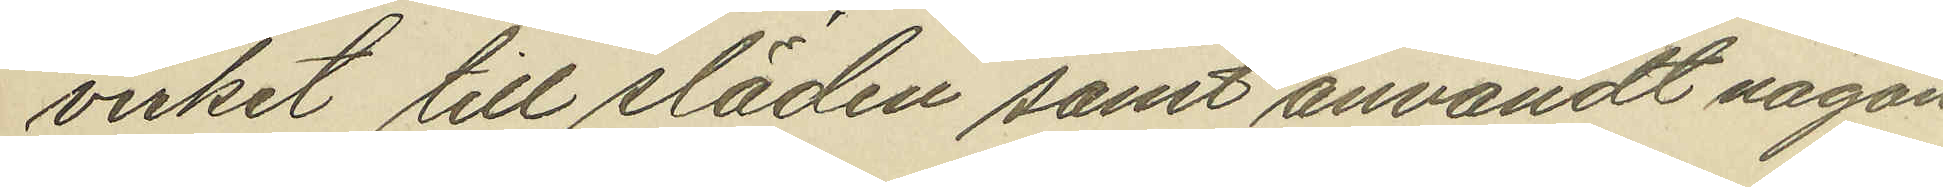virket till släden samt användt någon
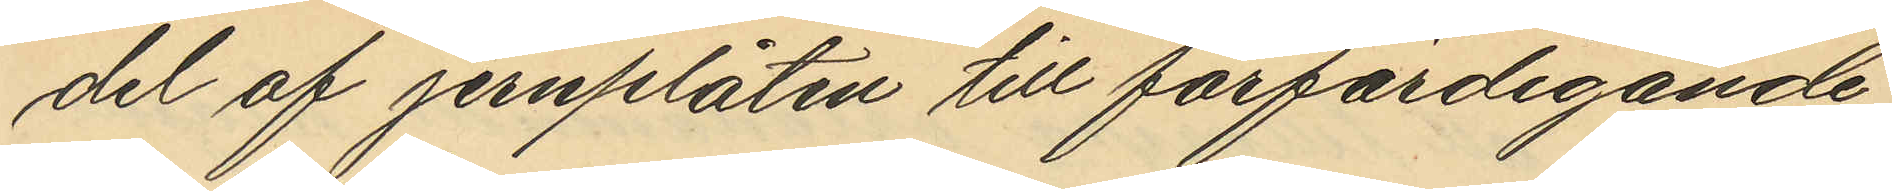del af jernplåten till förfärdigande
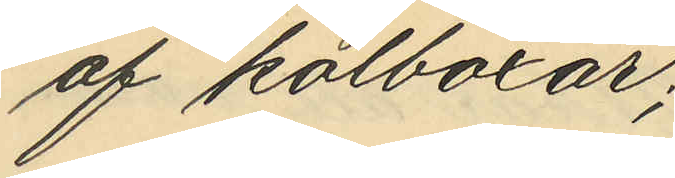av kolboxar;
